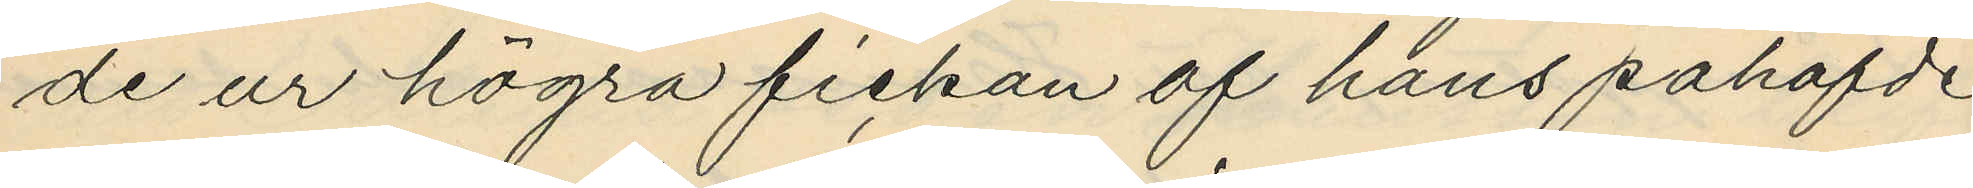de ur högra fickan af hans påhafde
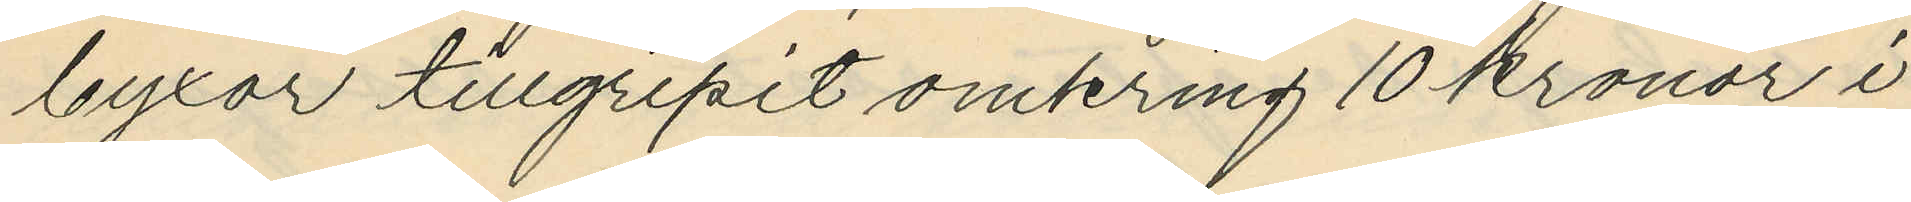byxor tillgripit omkring 10 kronor i
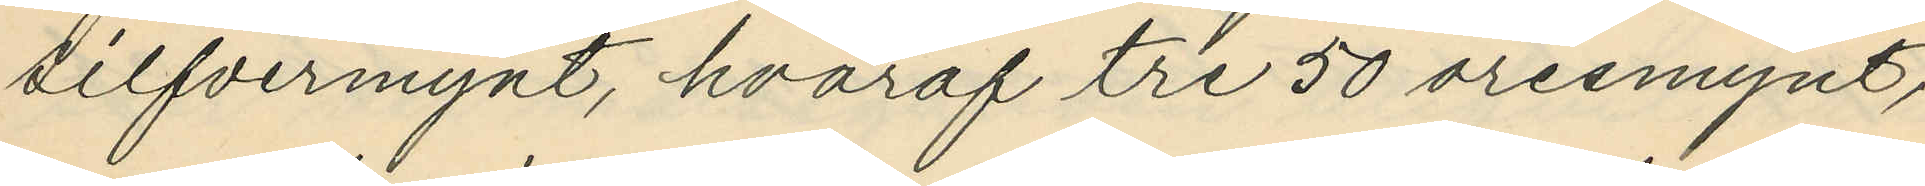silfvermynt, hvaraf tre 50 öresmynt,
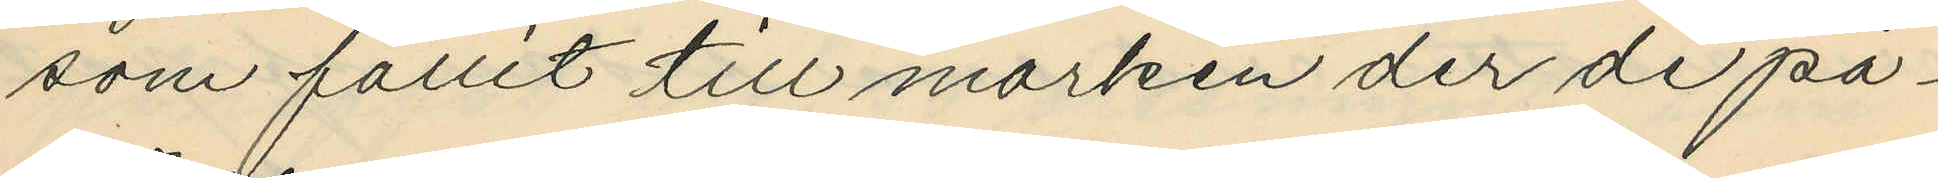som fallit till marken der de på¬
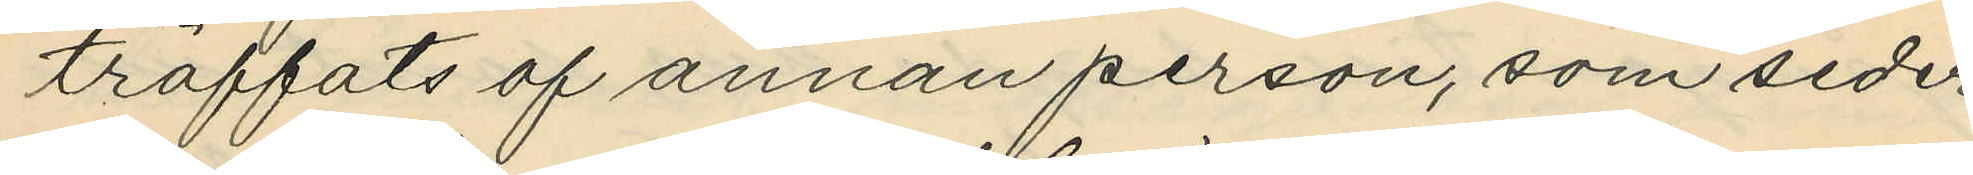träffats af annan person, som seder¬
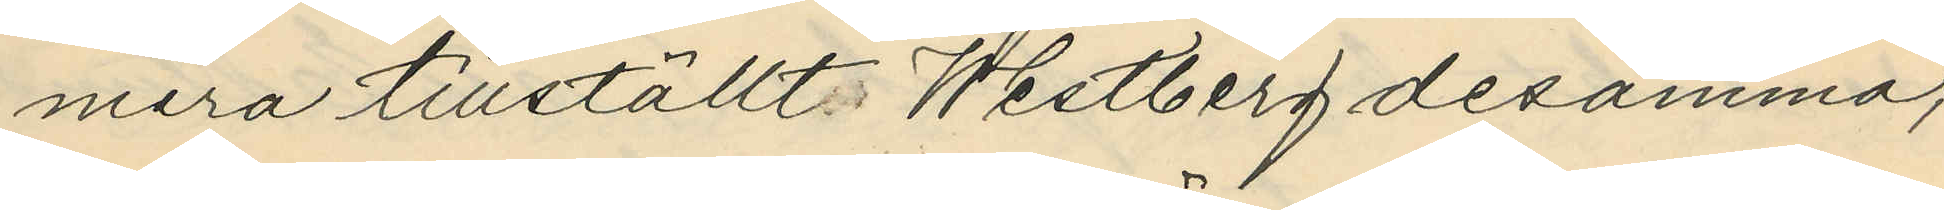mera tillställt Westberg desamma;
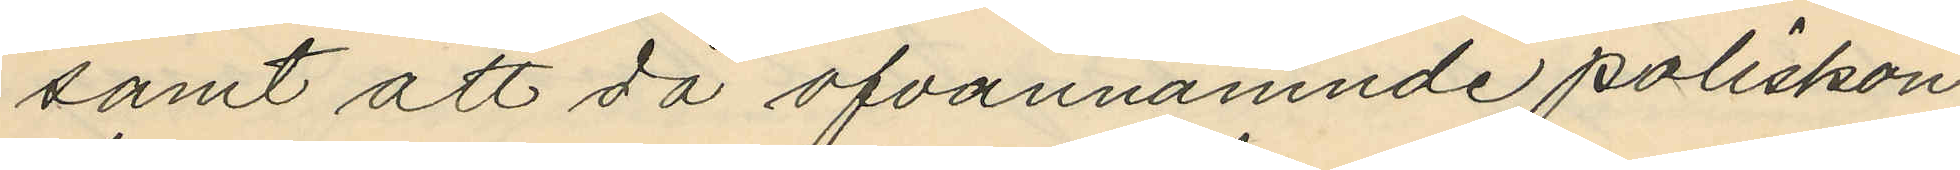samt att då ofvannämnde poliskon¬
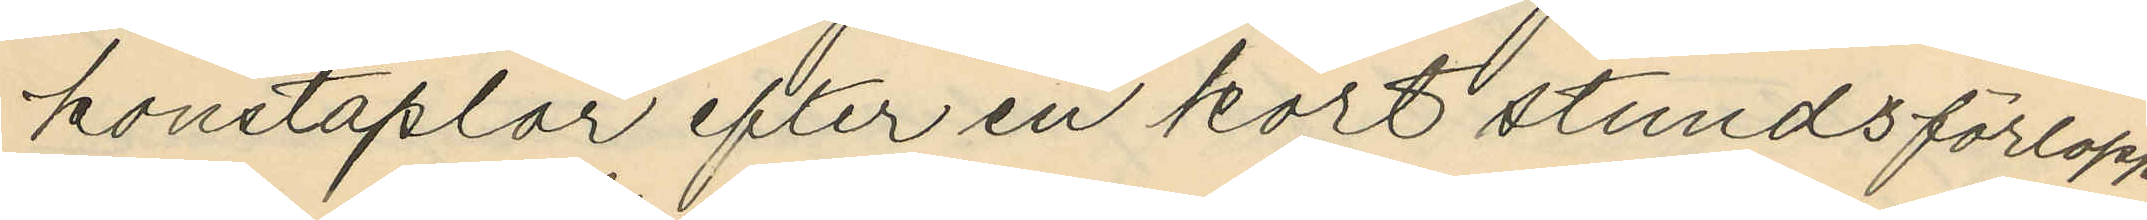konstaplar efter en kort stunds förlopp
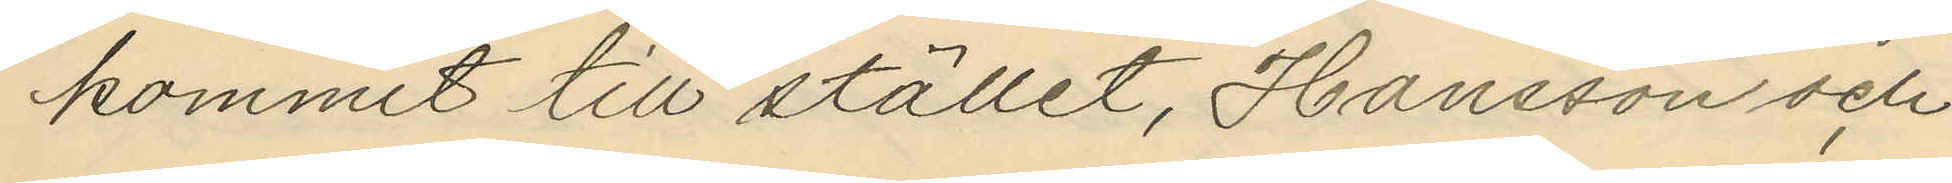kommit till stället, Hansson och
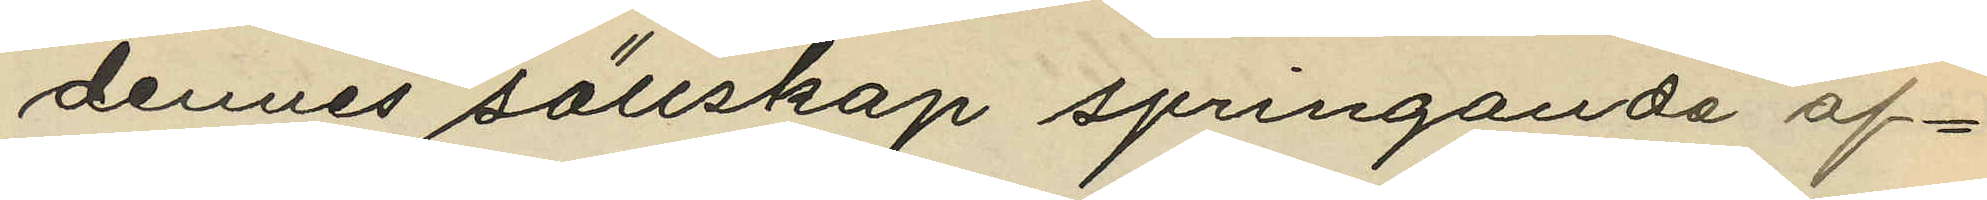dennes sällskap springande af¬
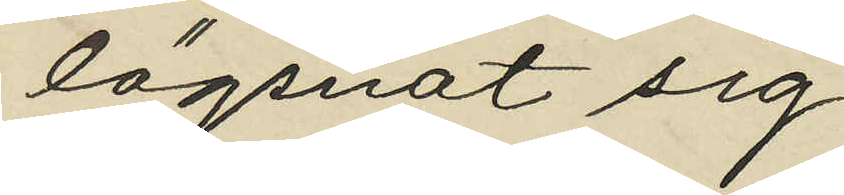lägsnat sig.
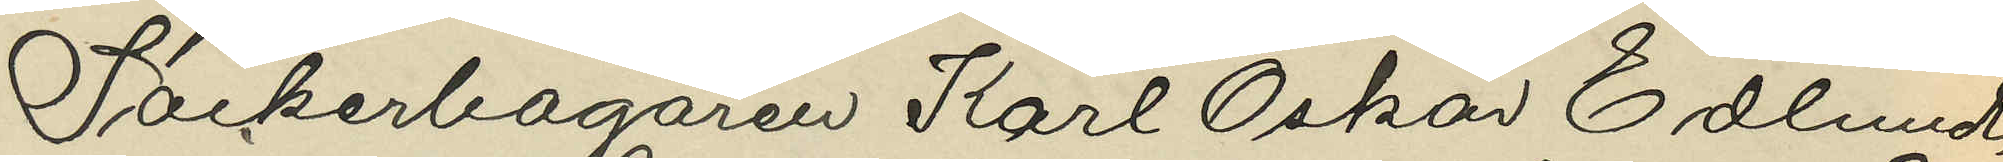Sockerbagaren Karl Oskar Edlund,
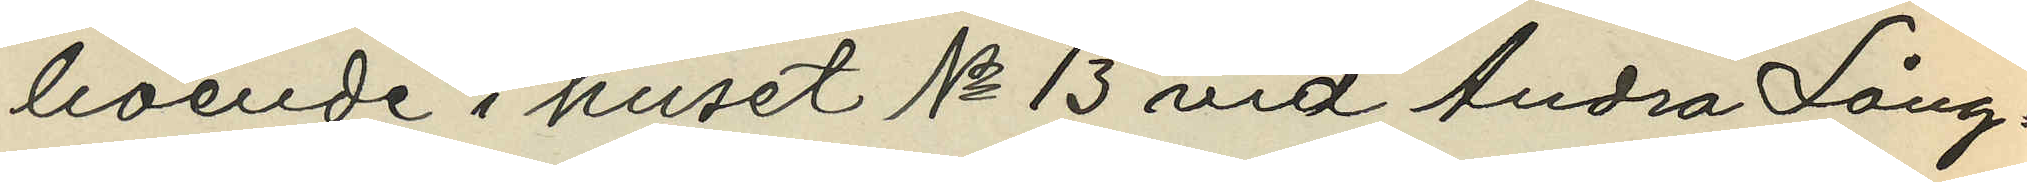boende i huset No 13 vid Andra Lång¬
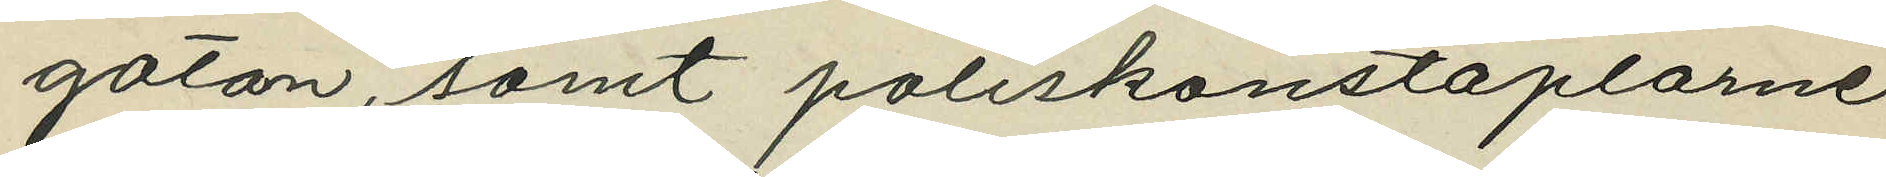gatan, samt poliskonstaplarne
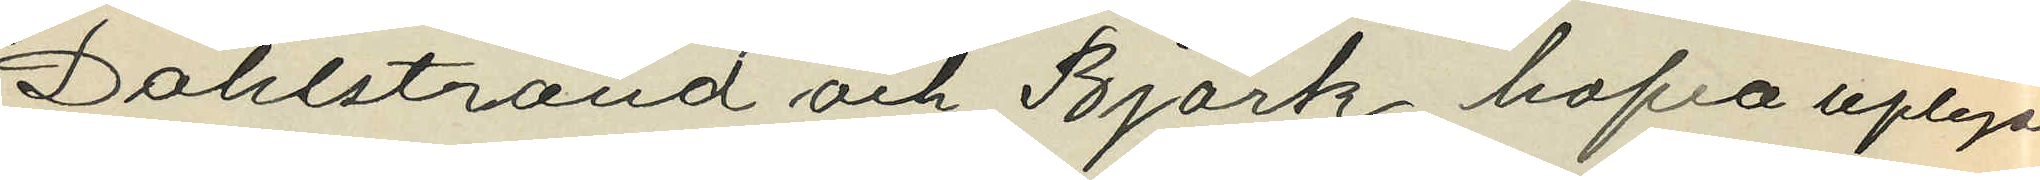Dahlstrand och Björk hafva uplyst
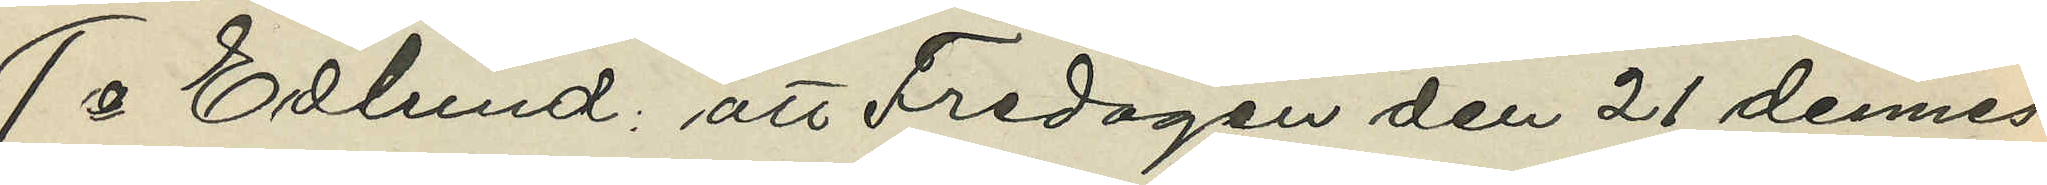1o Edlund: att Fredagen den 21 dennes
